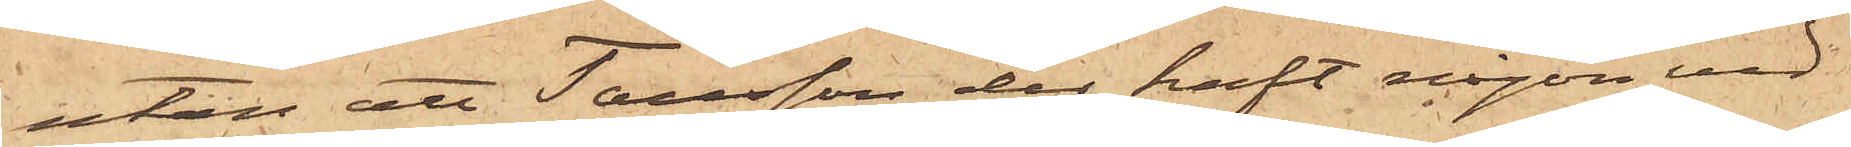utan att Tausson der haft någon ved
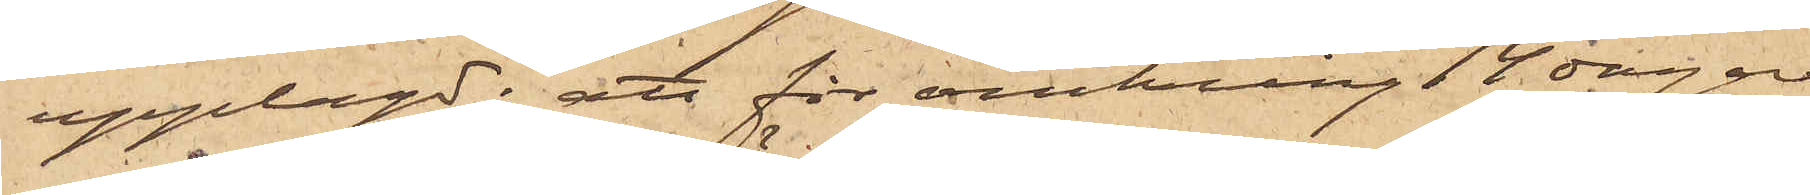upplagd; att för omkring 14 dagar
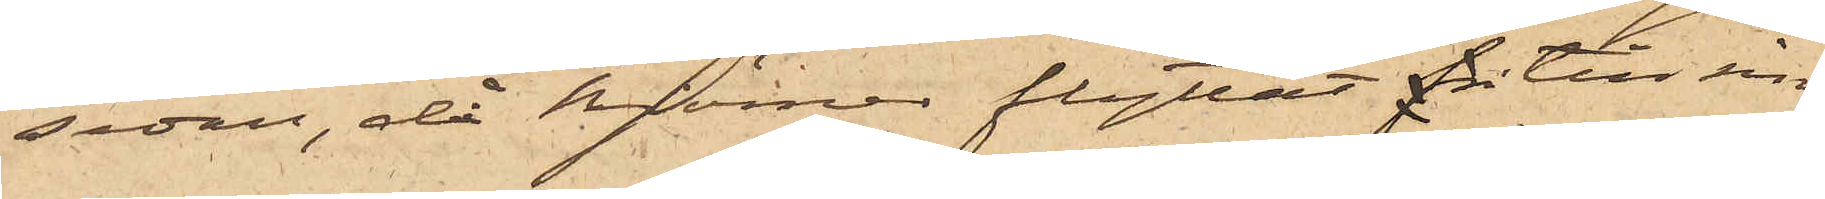sedan, då Björner flyttat för till sin
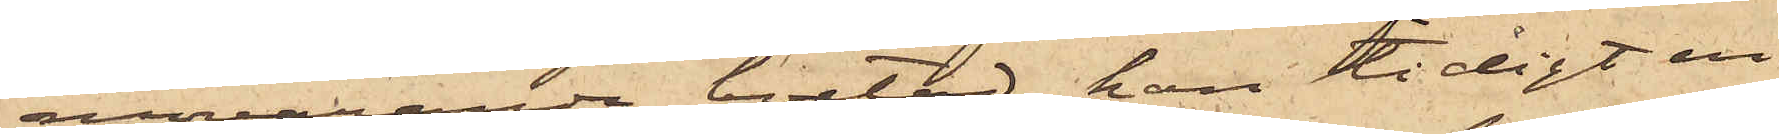nuvarande bostad, han tidigt en
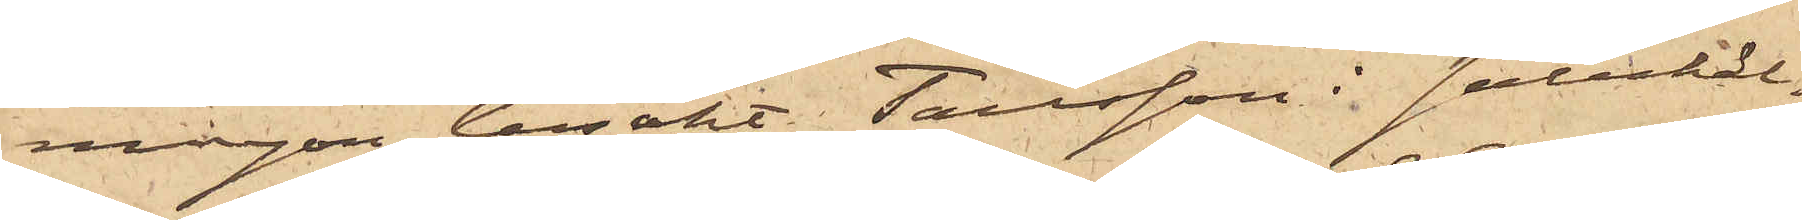morgon besökt Tausson i salukäl¬
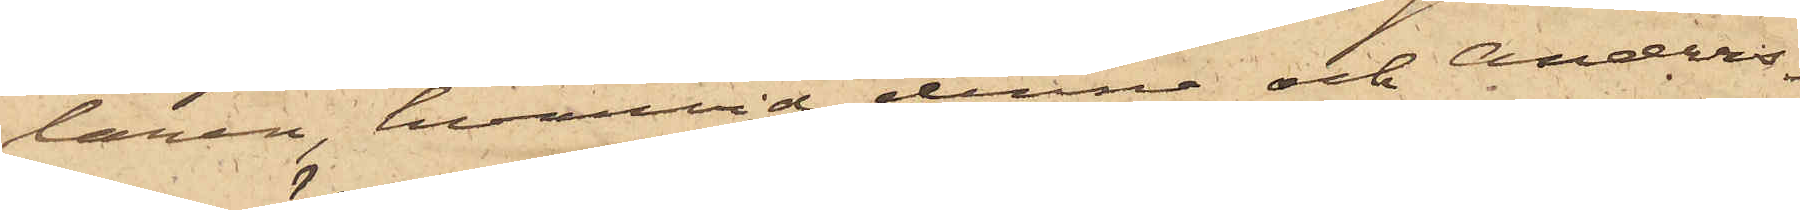laren, hvarvid denne och Anders¬
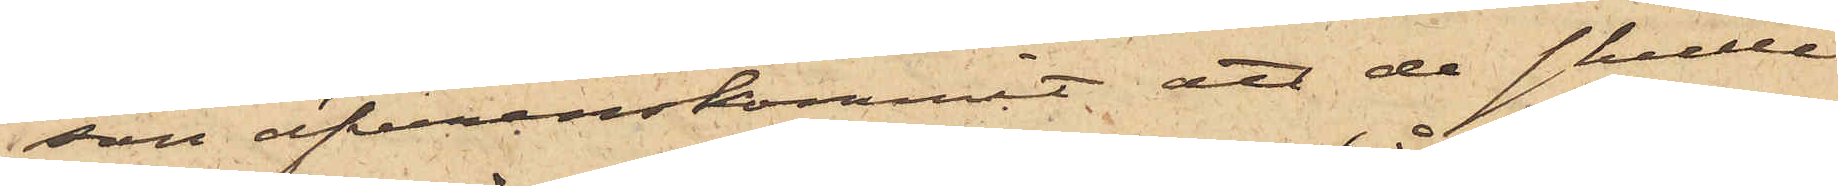son öfverenskommit att de skulle
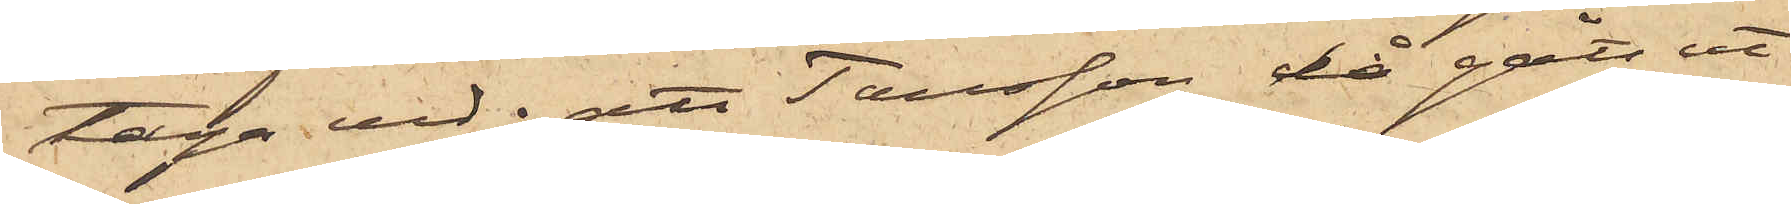taga ved; att Tausson då gått ut
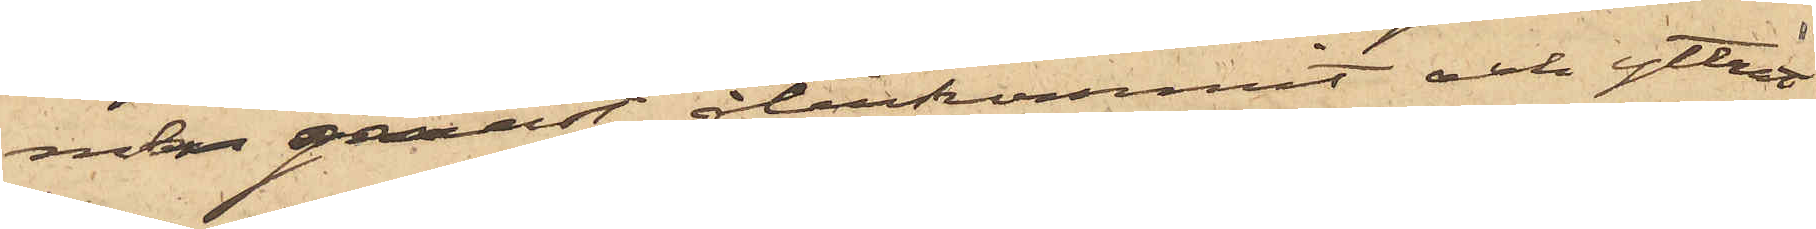men genast återkommit och yttrat
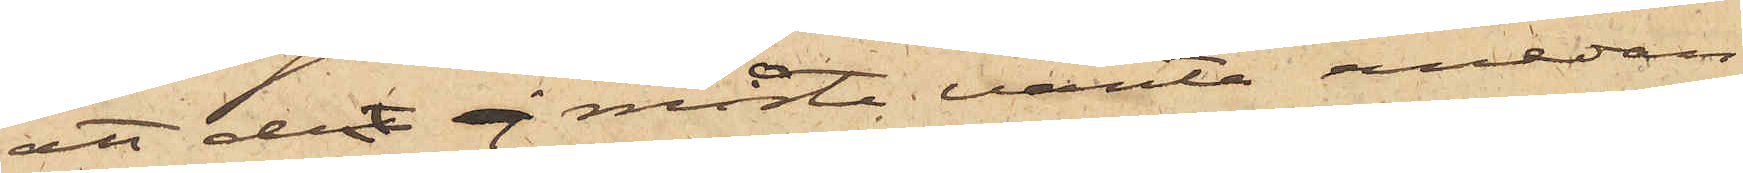att det ej måste vänta emedan
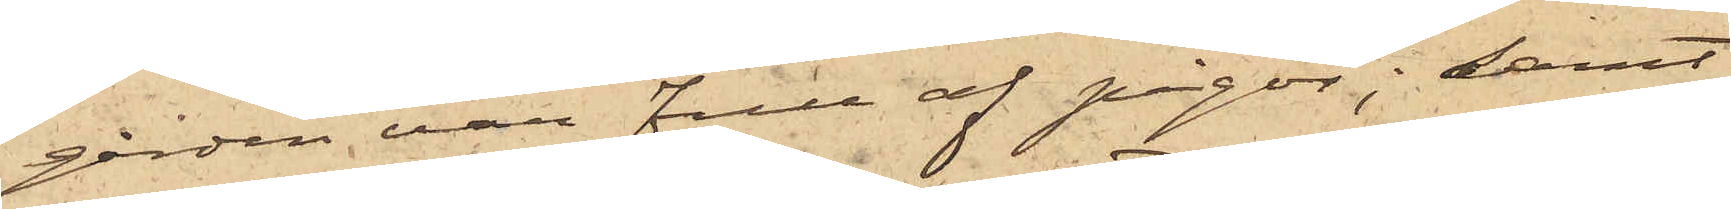"gården var full af pigor"; samt
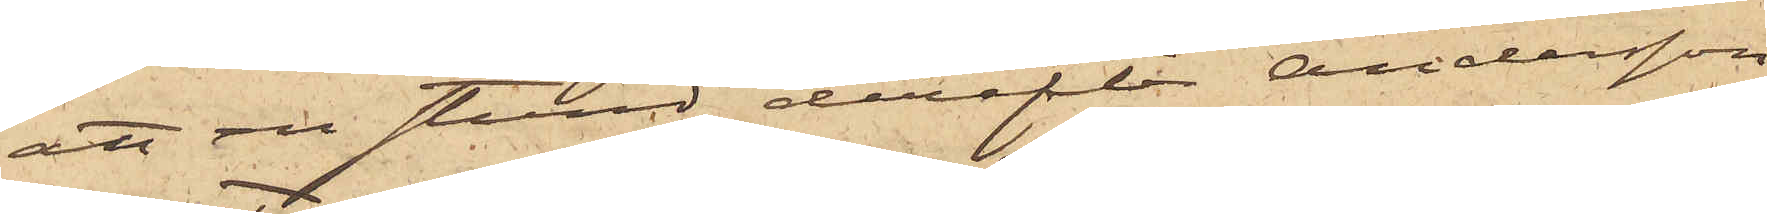att en stund derefter Andersson
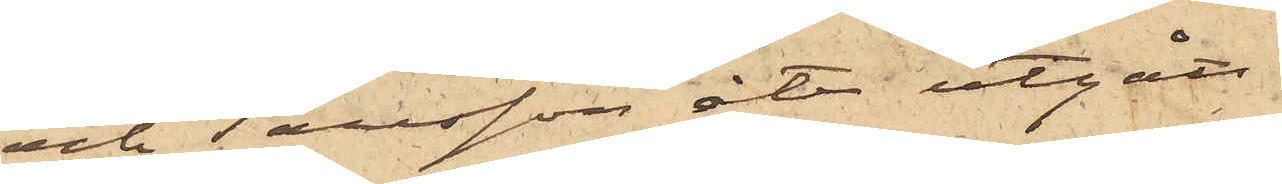och Tausson åter utgått
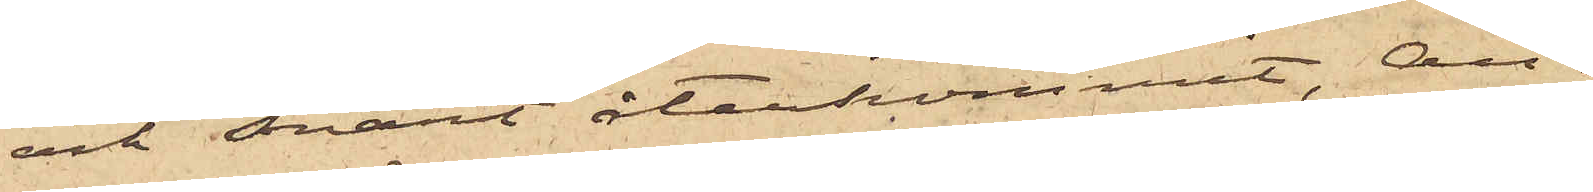och snart återkommit, An¬
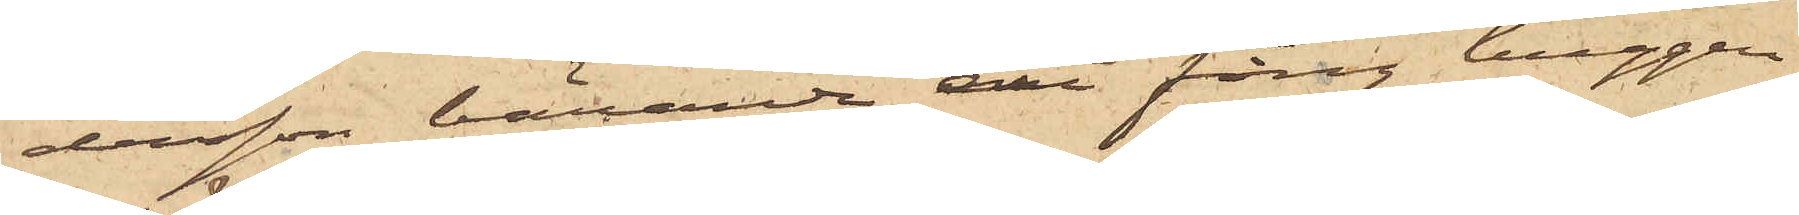dersson bärande ett fång huggen
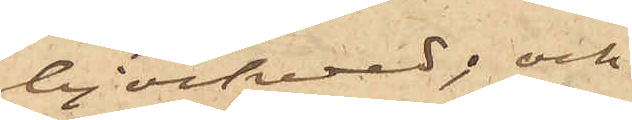björkved; och
